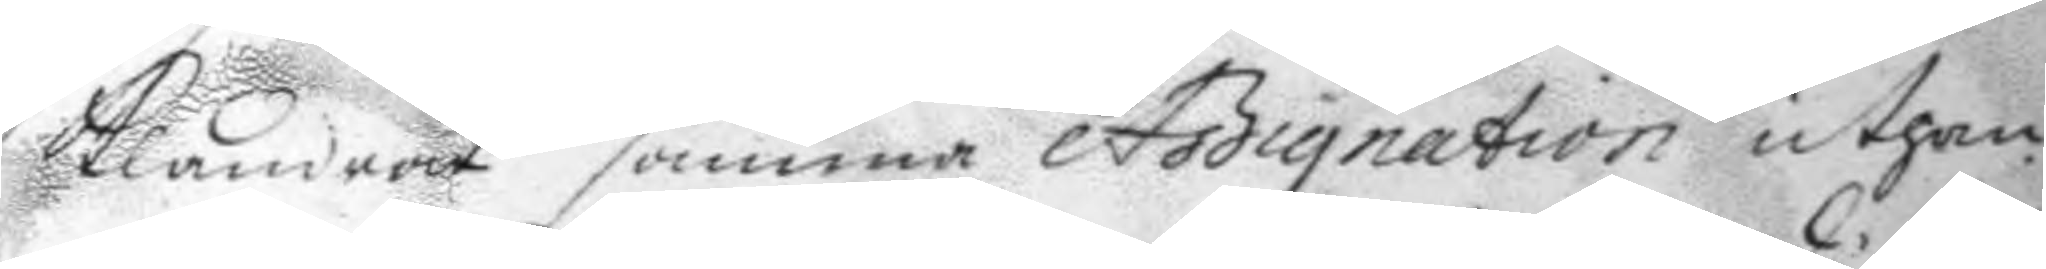klandrat samma Assignation uthan
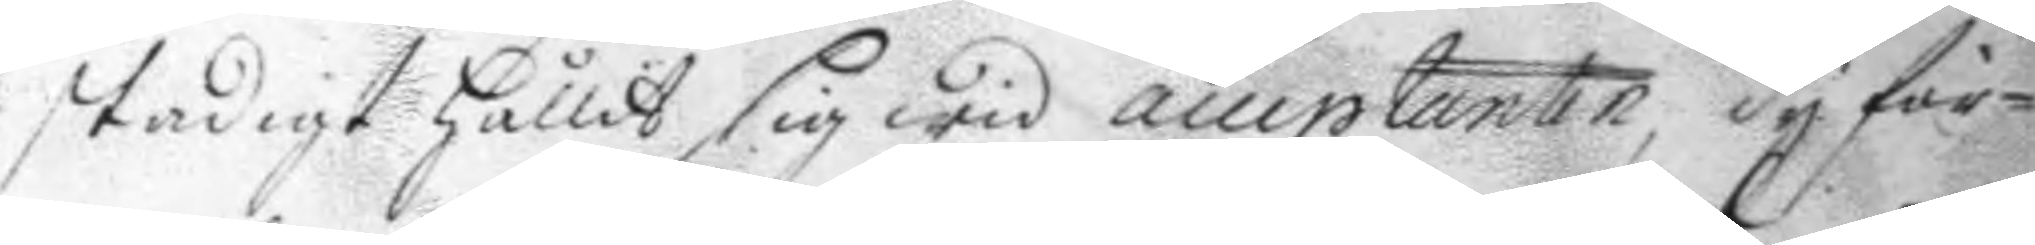stadigt hållit sig wid acceptanten, dy för¬
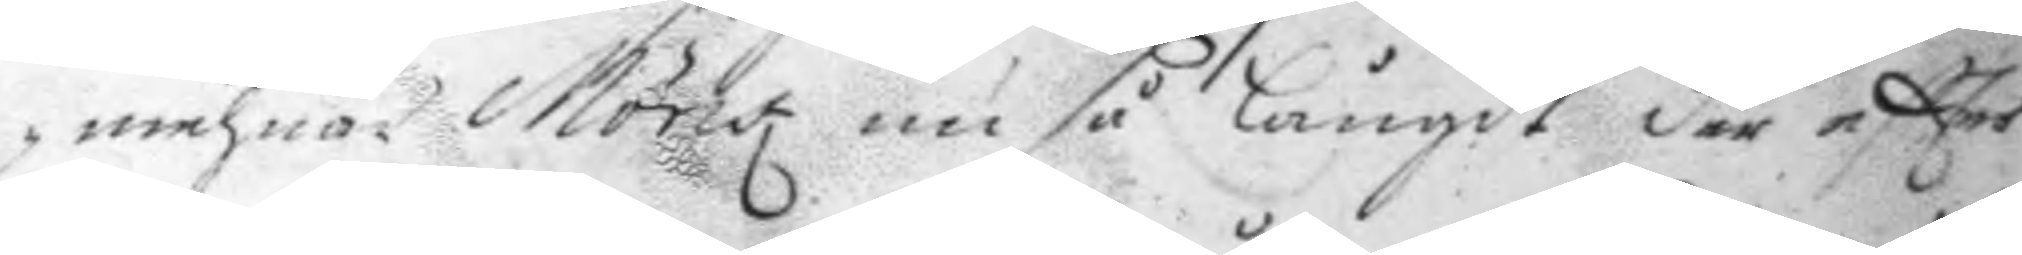mehnar Mönk nu så långdt der eftter
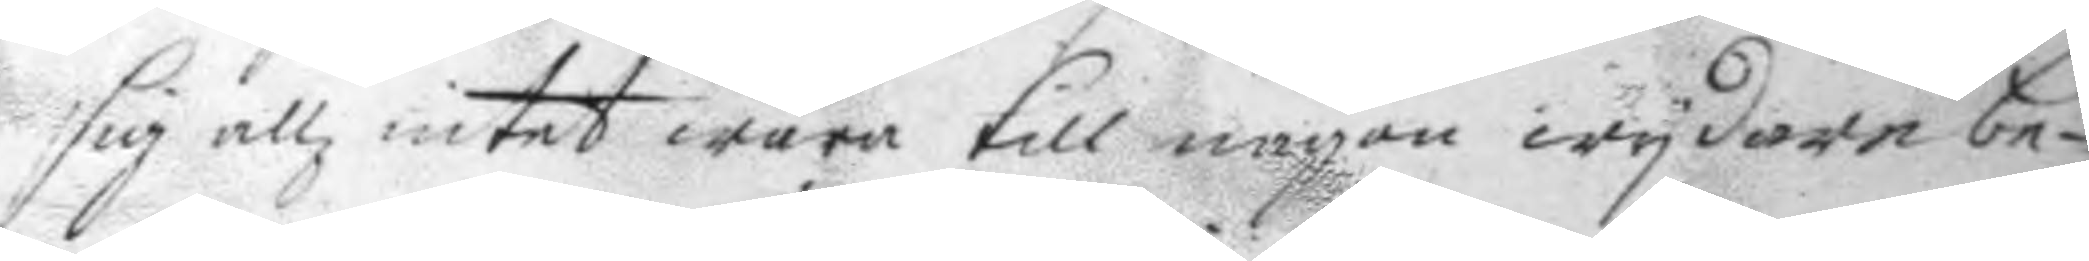sig allz intet wara till någon wydare be¬
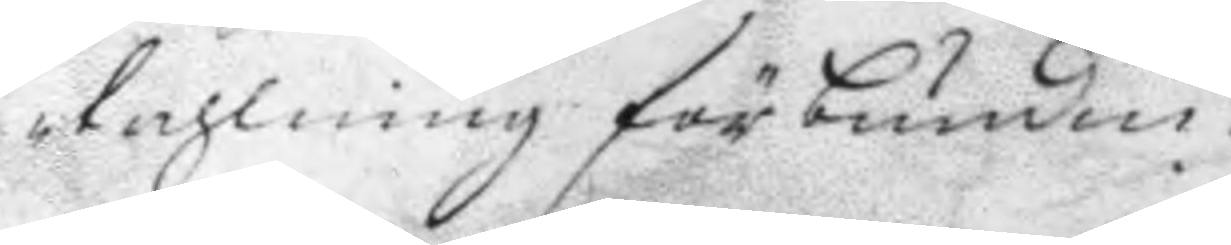tahlning förbunden.
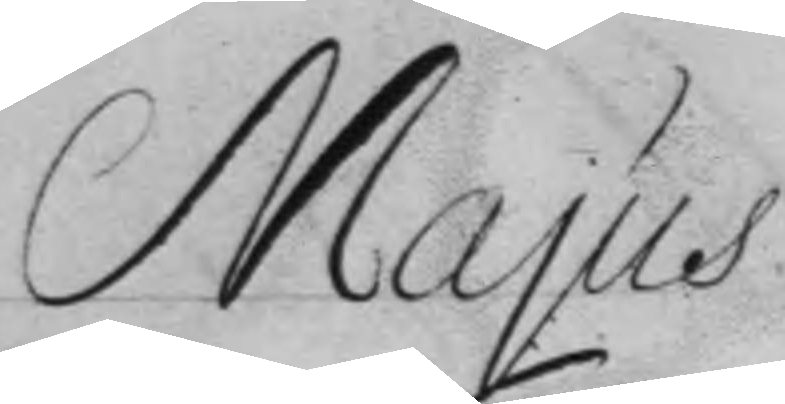Majus
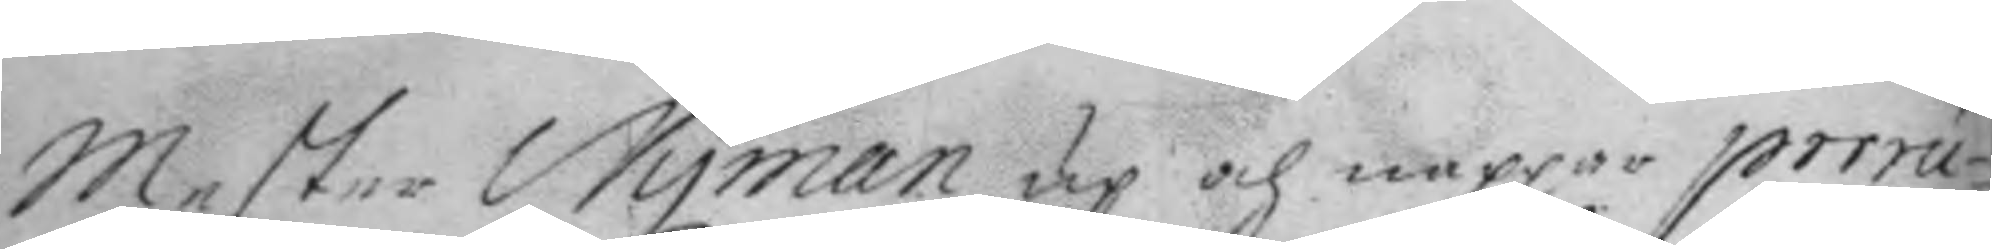Mester Nyman up och nappar perrú¬
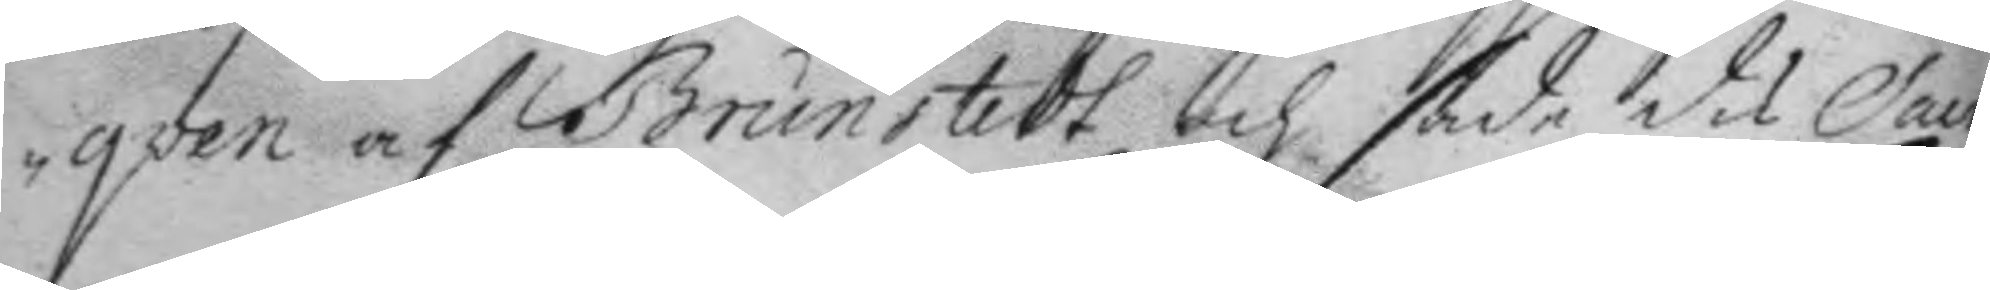qven af Brunstedt och sade din Saur¬
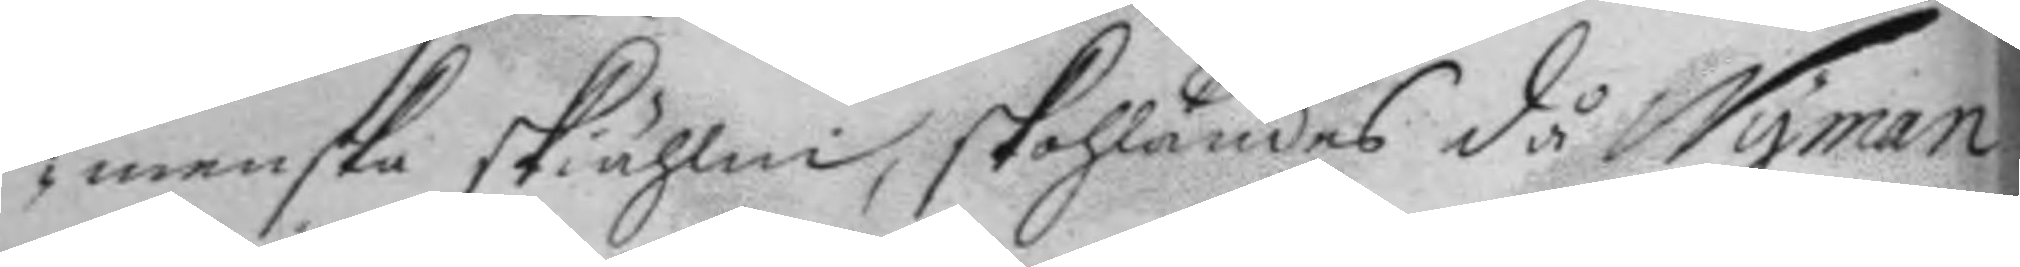menska skiählm, skohlandes då Nyman
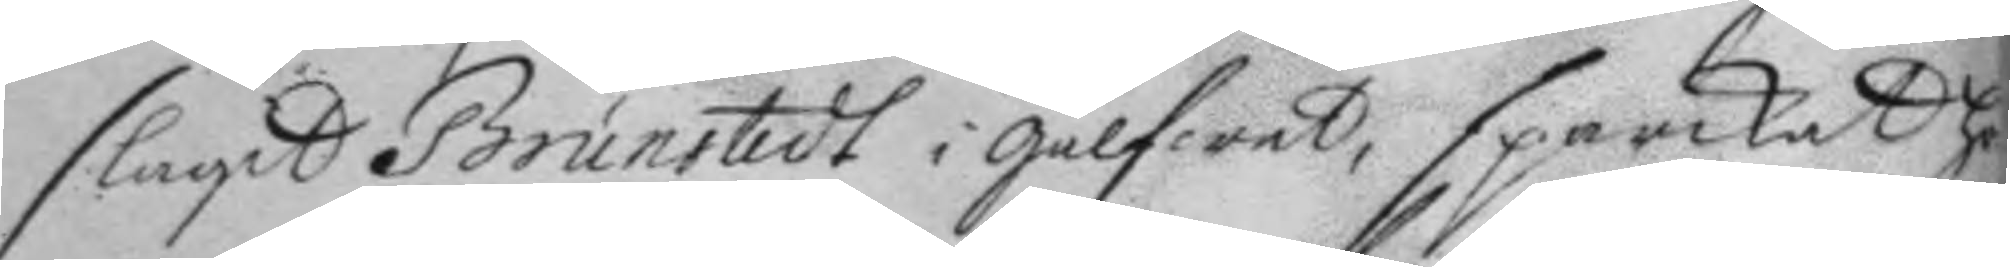slagit Brunstedt i gålfwet, sparkat ho¬
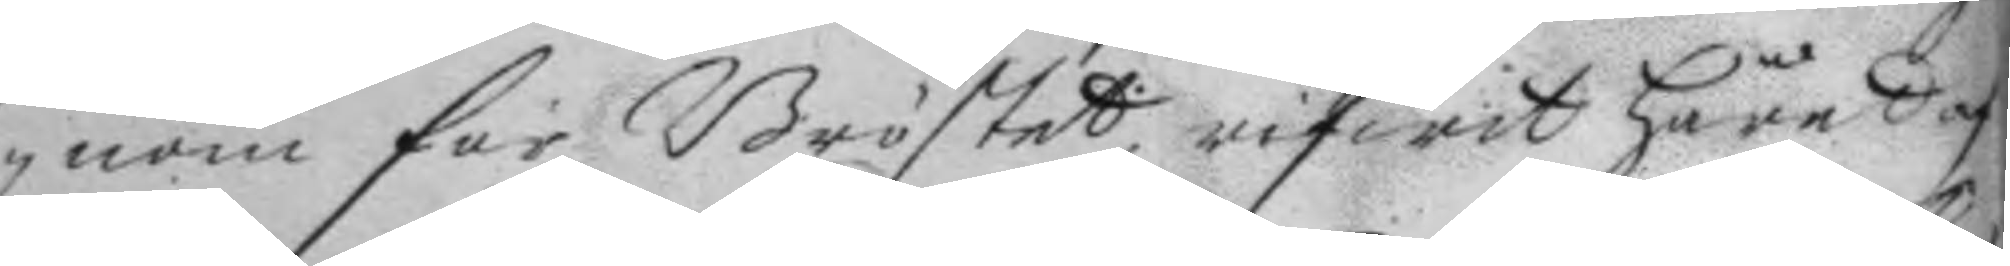nom för Bröstet, rifwit håret af
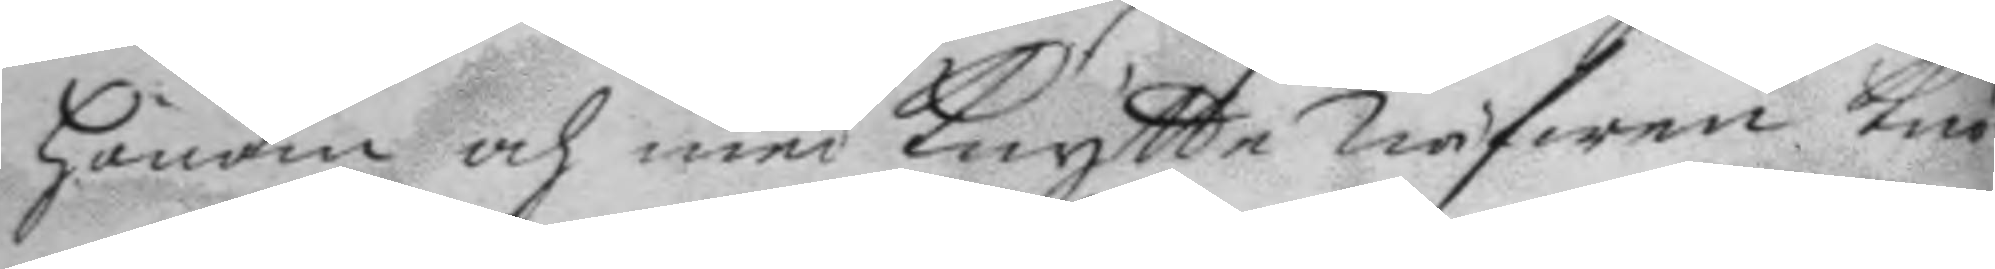honom och med knytte näfwen knö¬
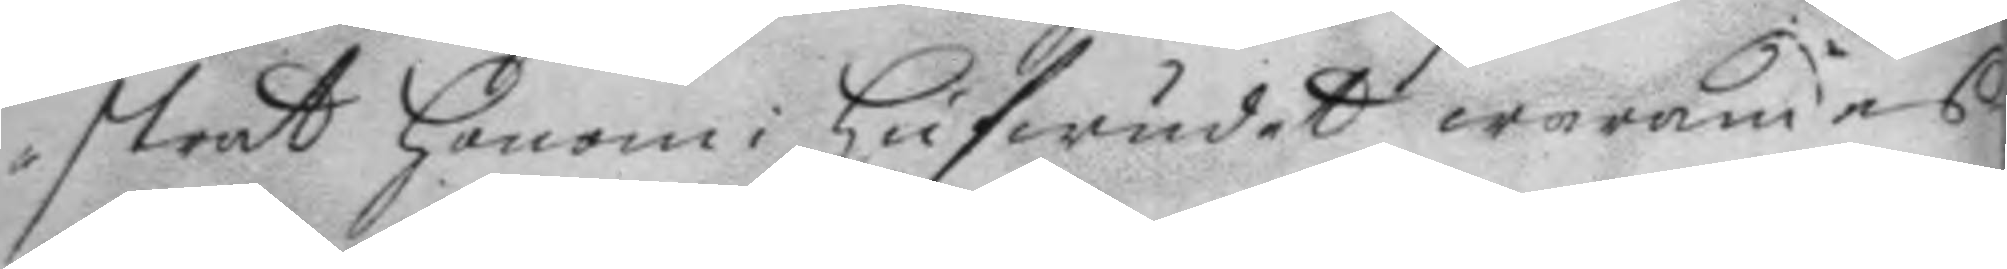strat honom i hufwudet warandes
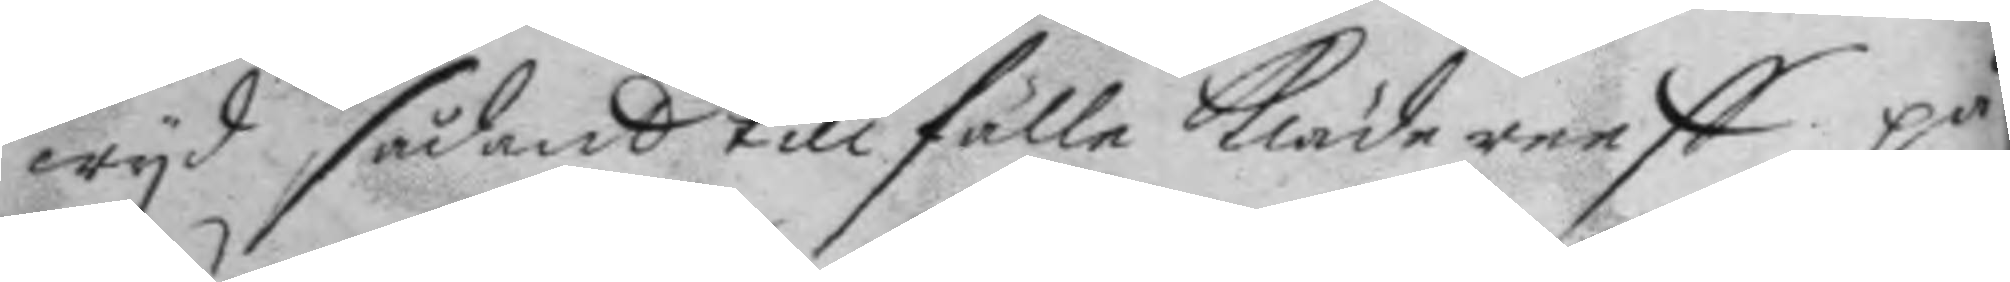wyd sådant tillfälle klädereest på
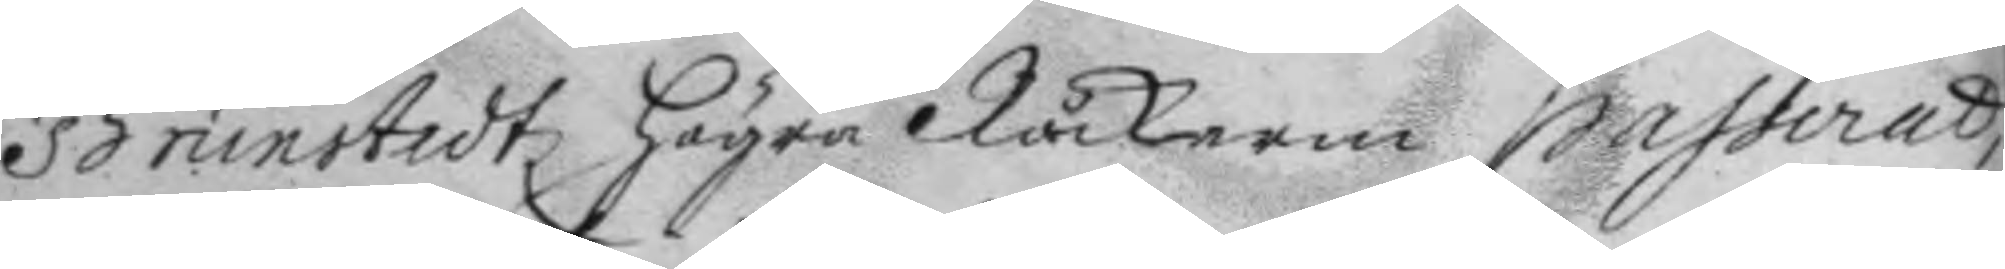Brunstedtz högra Råckarm passerat,
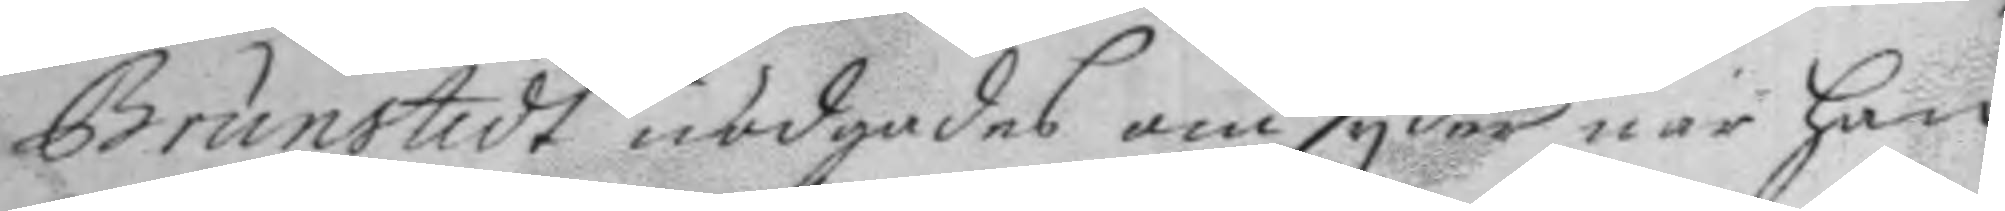Brunstedt nödgades omsyder när han
